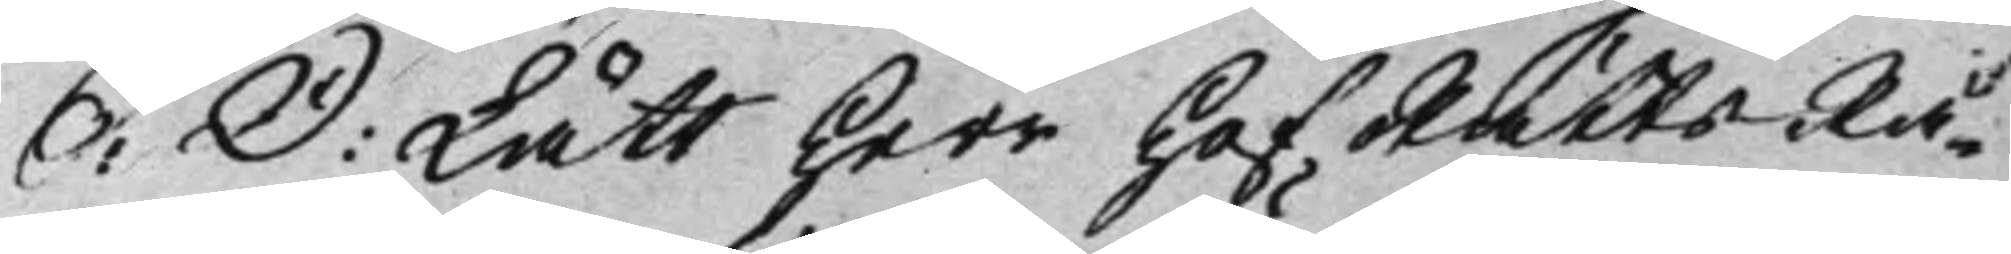S: D: Lätt Herr HofRättsRå¬
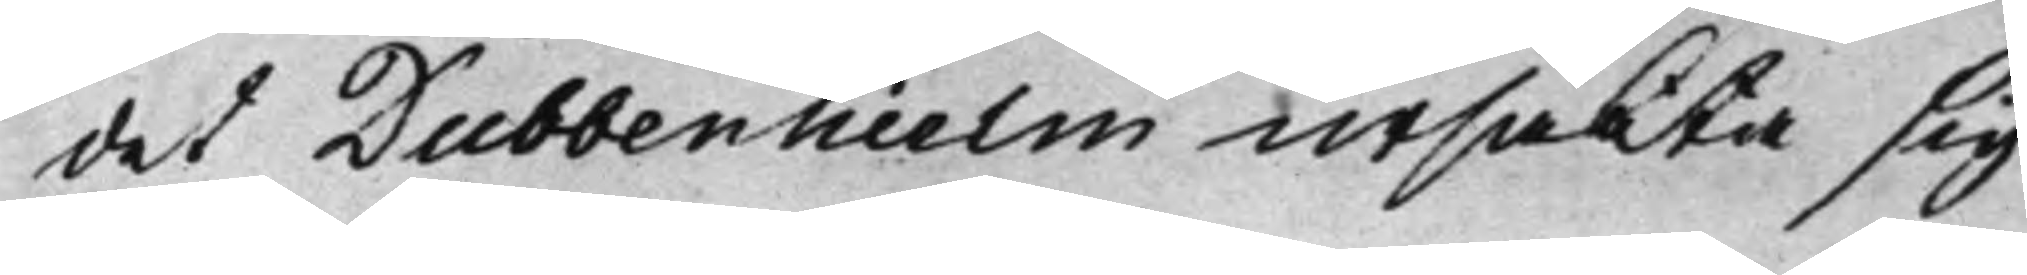det Dubbenhielm ursäkta sig
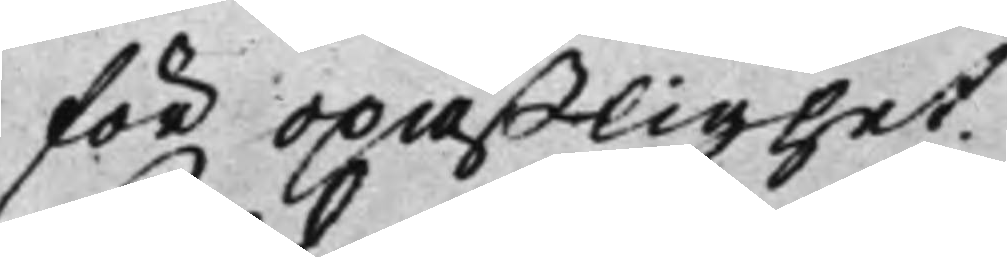för opaßlighet.
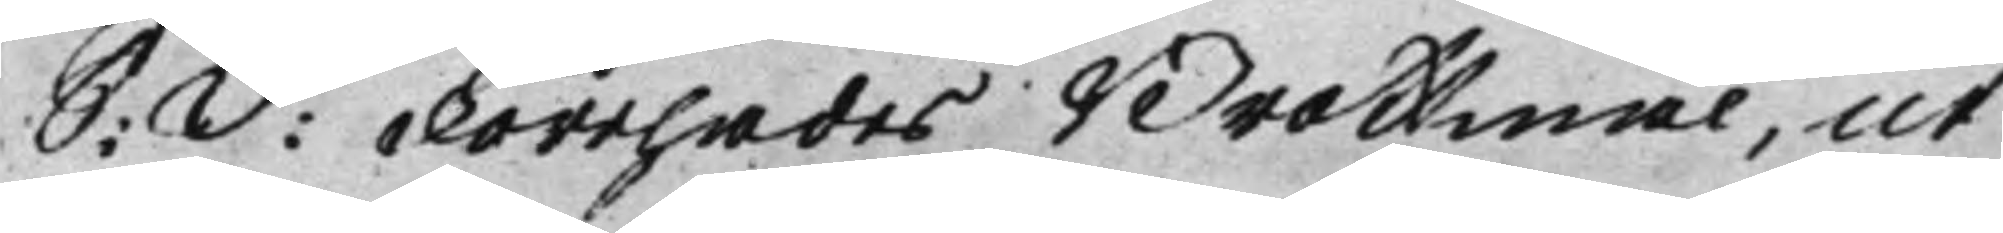S: d: Förehades Brottmål, ut
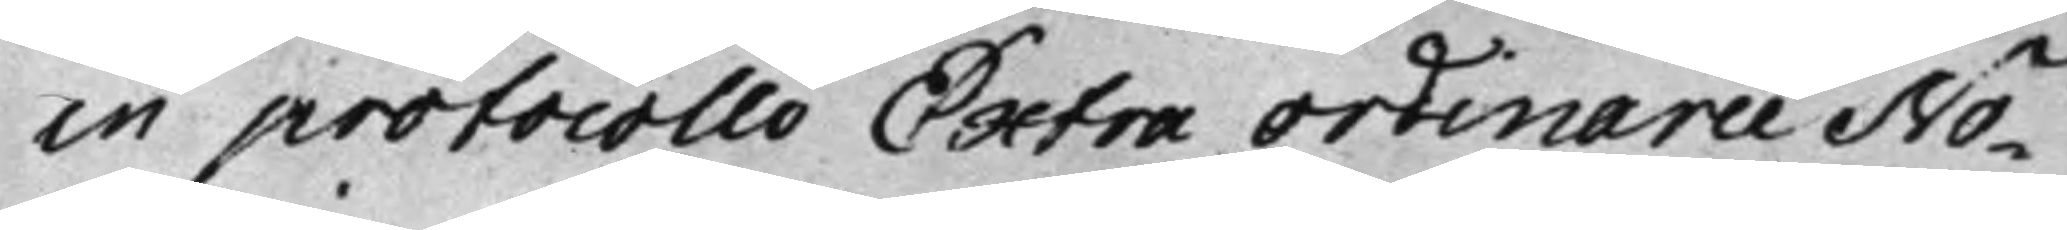in protocollo Extra Ordinarie No¬
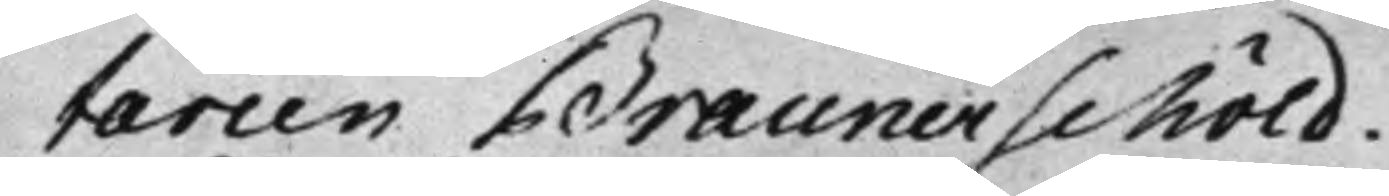tarien Braunerschöld.
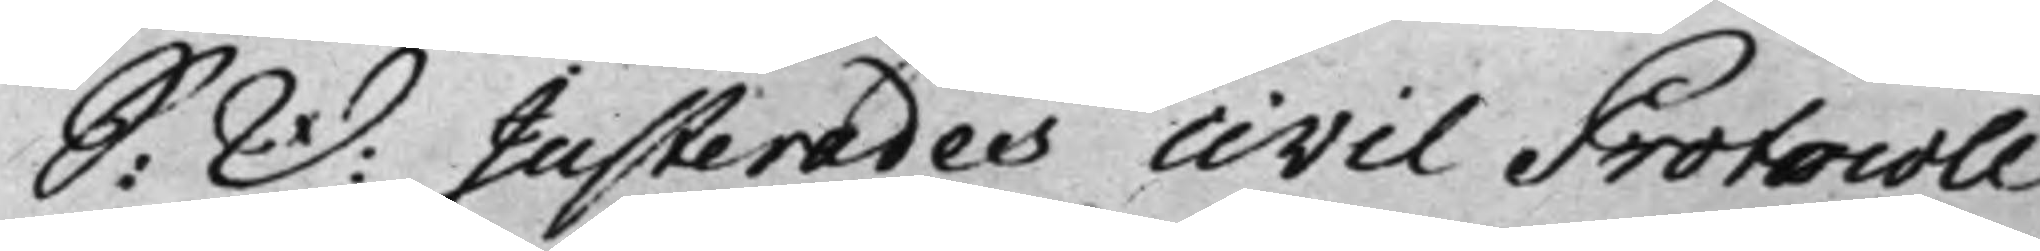S: D: Justerades civil Protocoll
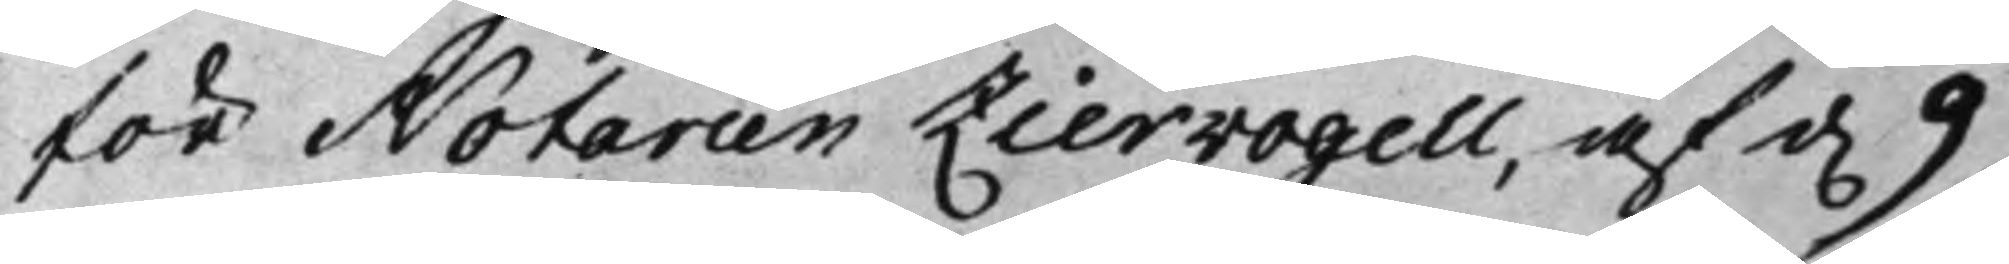för Notarien Ziervogell, af d. 9,
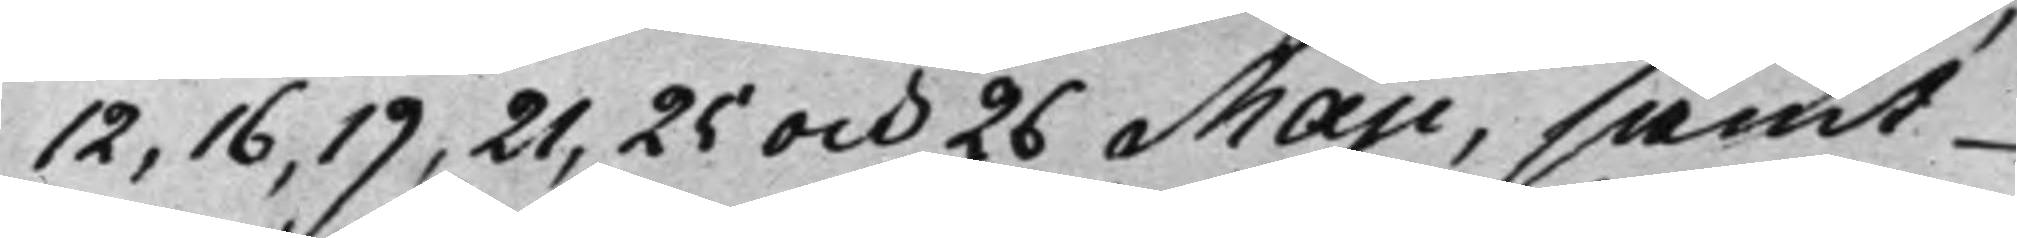12, 16, 19, 21, 25 och 26 Maji, samt
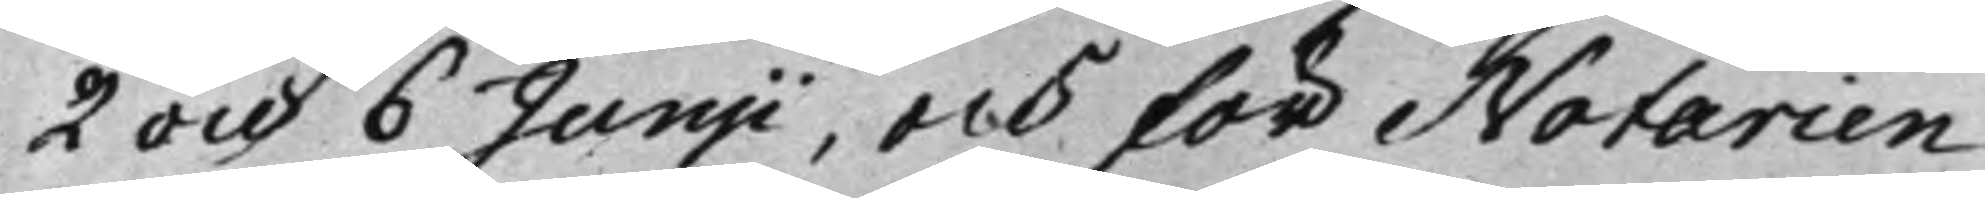2 och 6 Junji, och för Notarien
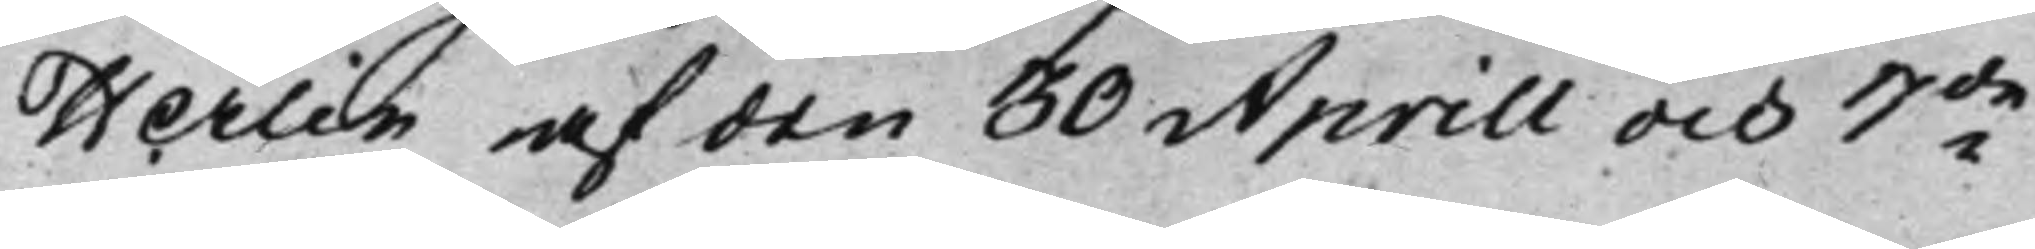Herlin af den 30 Aprill och 7de
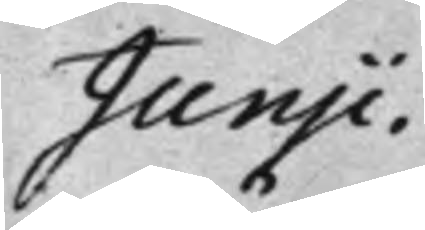Junji.
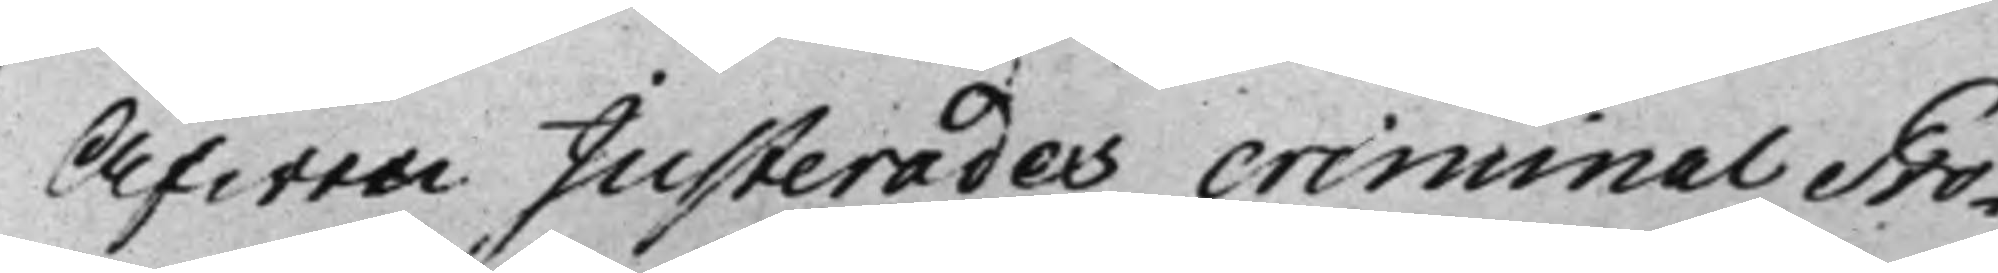Äfwen Justerades criminal Pro¬
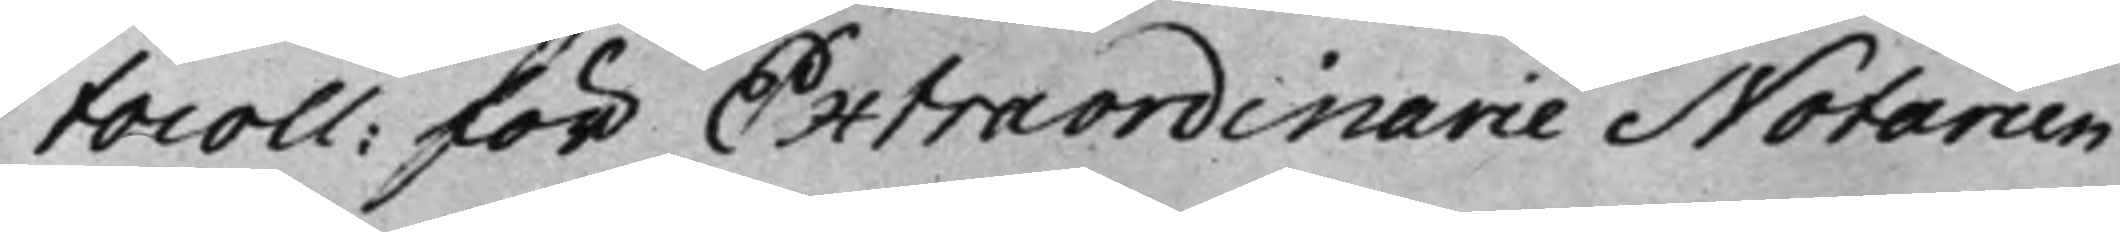tocoll: för Extraordinarie Notarien
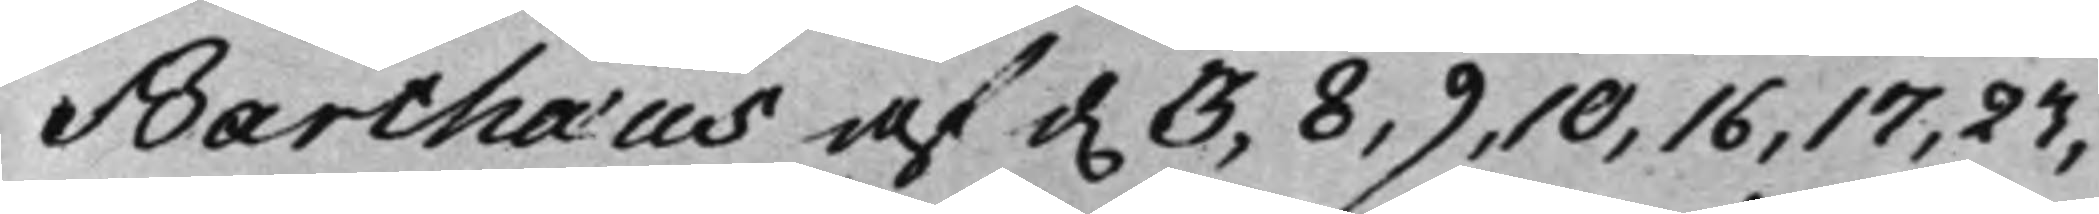Barthæus af d. 3, 8, 9, 10, 16, 17, 23,
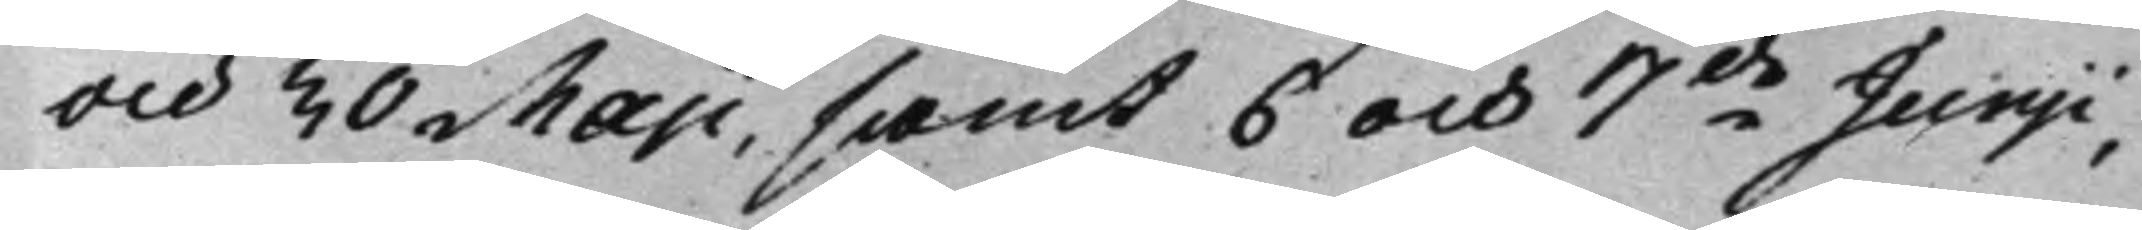och 30 Maji, samt 6 och 7de Junji,
